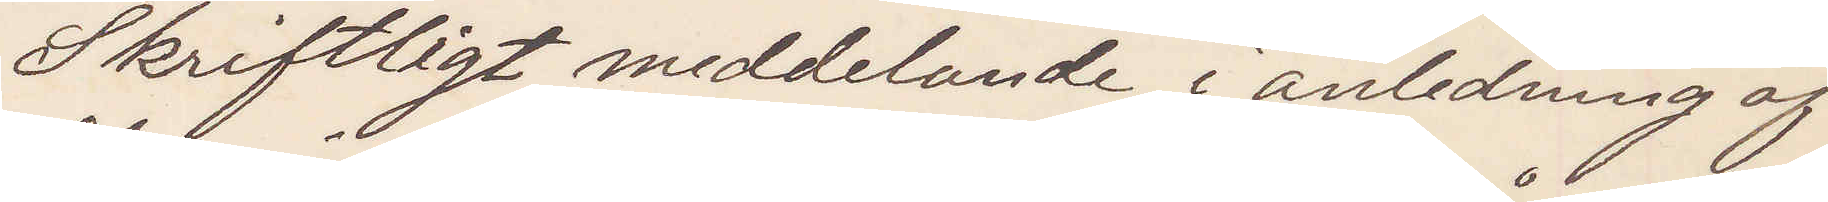Skriftligt meddelande i anledning af
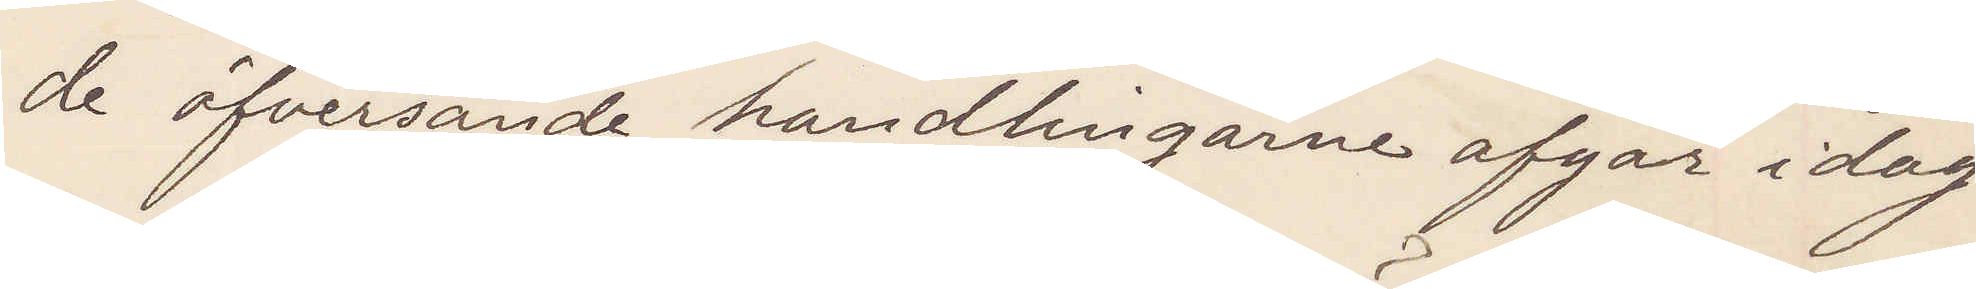de öfversände handlingarne afgår idag
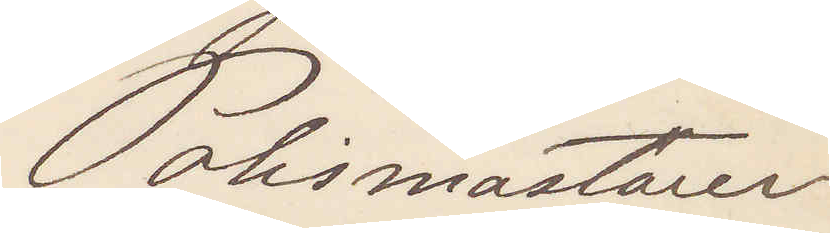Polismästaren
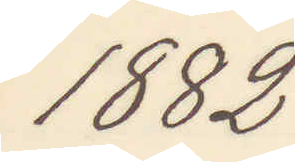1882
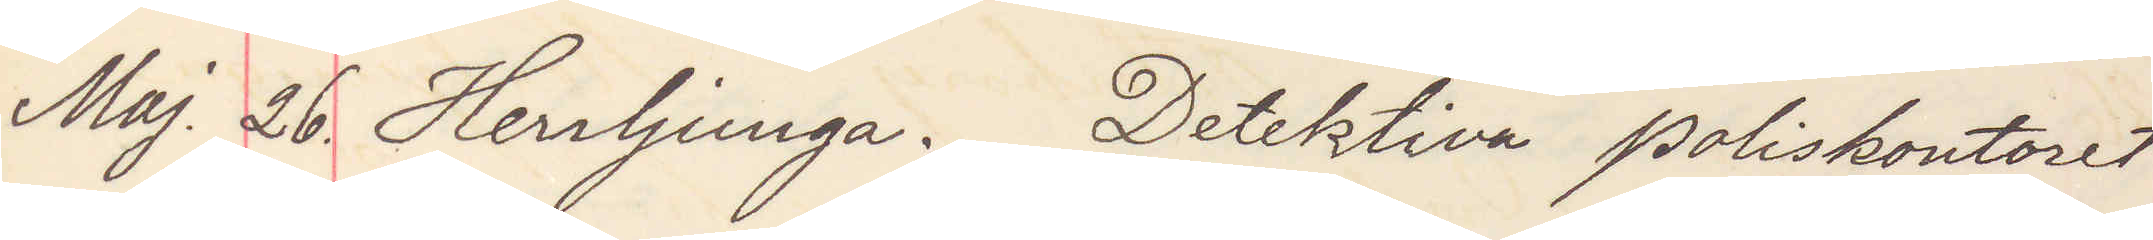Maj. 26. Herrljunga. Detektiva poliskontoret
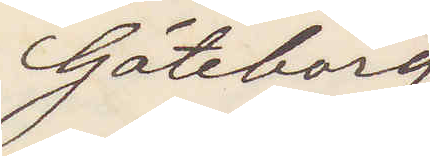Göteborg
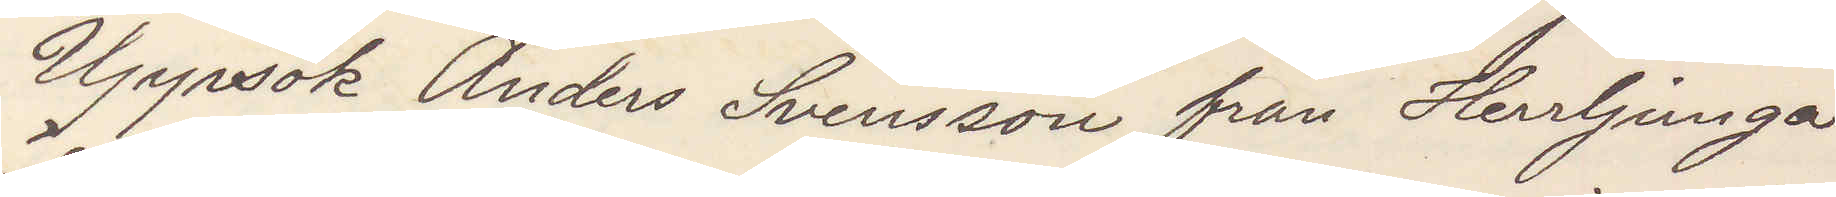Uppsök Anders Svensson från Herrljunga
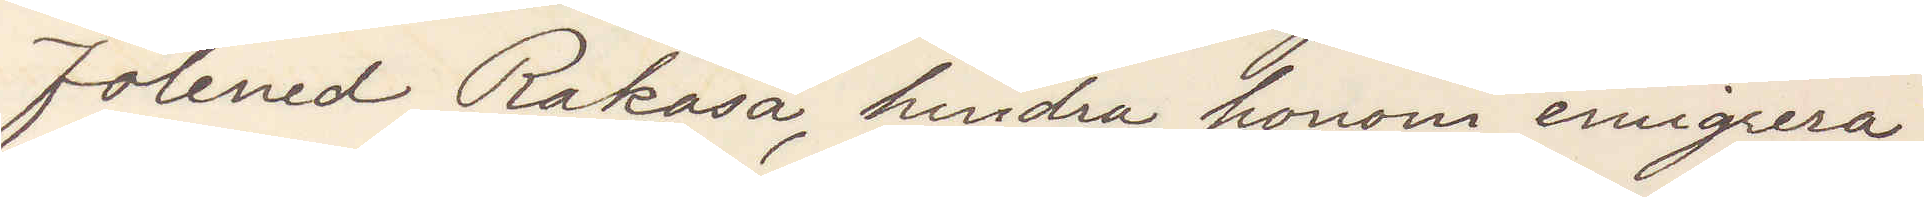Fölened Rakåsa, hindra honom emigrera;
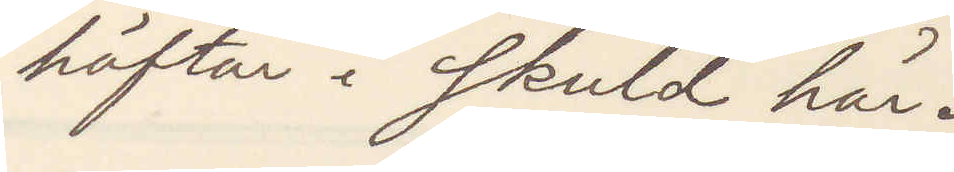häftar i skuld här.
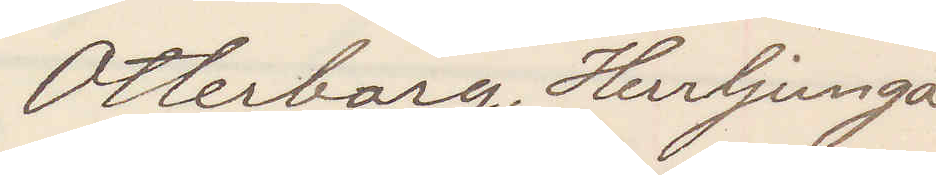Otterborg, Herrljunga.
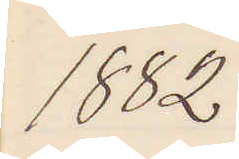1882
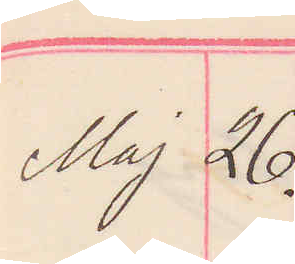Maj 26.
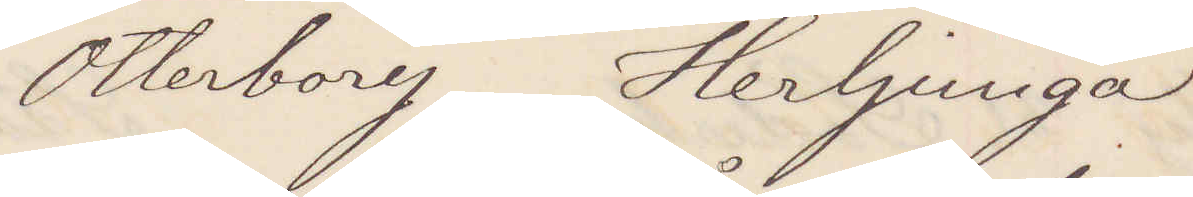Otterborg Herrljunga
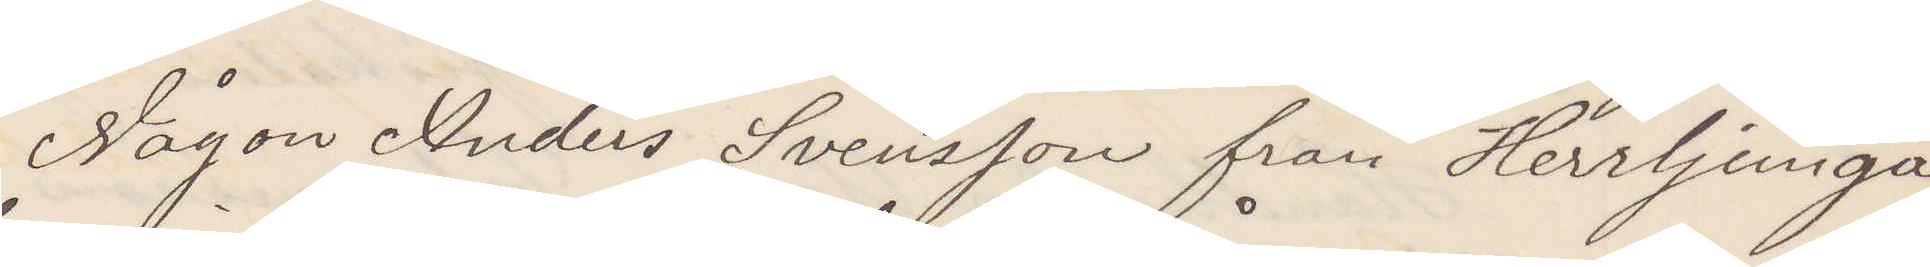Någon Anders Svensson från Herrljunga
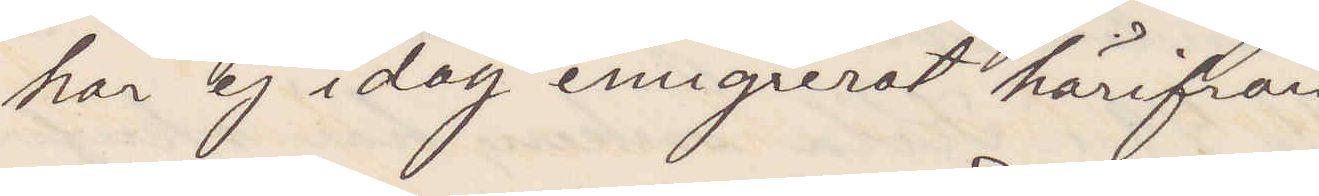har ej idag emigrerat härifrån
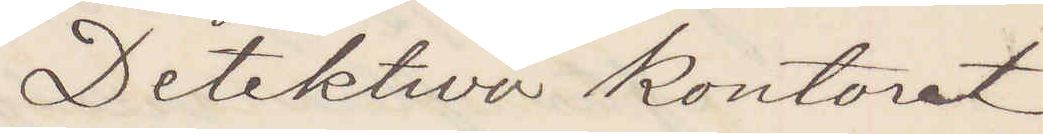Detektiva kontoret
